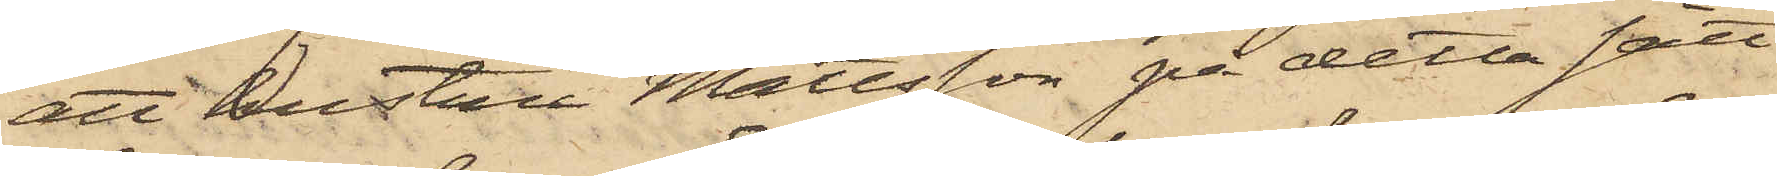att hustru Mattsson på detta sätt
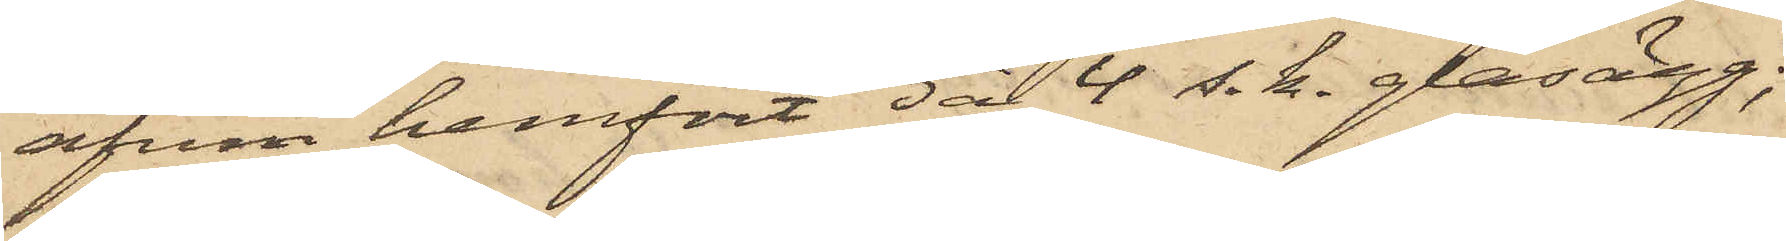äfven hemfört 3 à 4 s. k. glasägg;
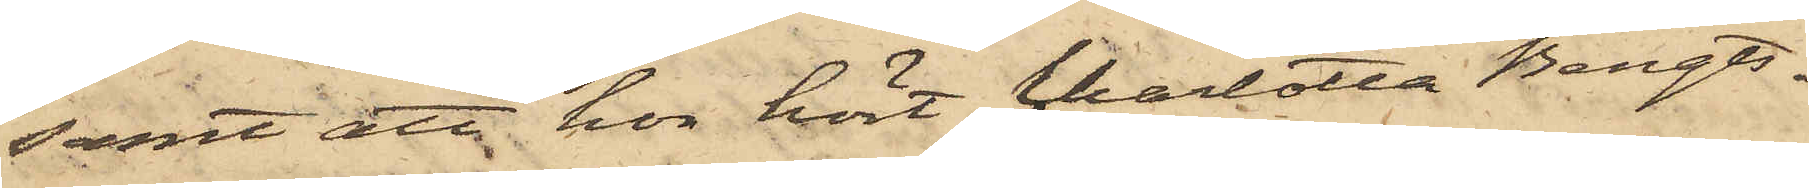samt att hon hört Charlotta Bengts¬
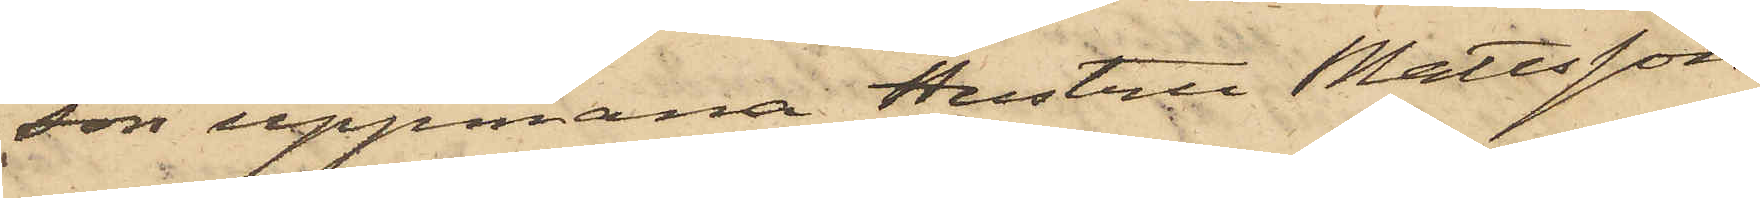son uppmana Hustru Mattsson
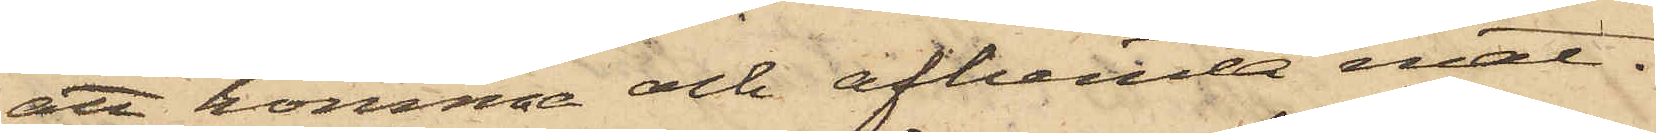att komma och afhemta mat.
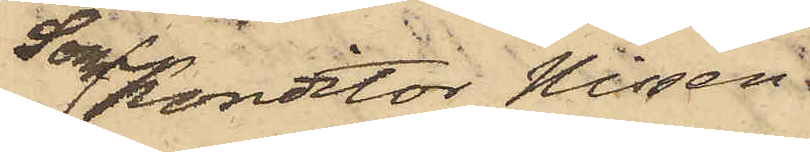Som Kontor Nissen
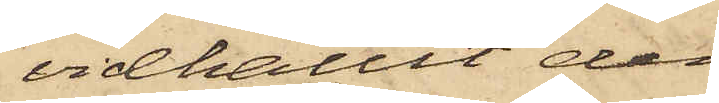vidhållit den
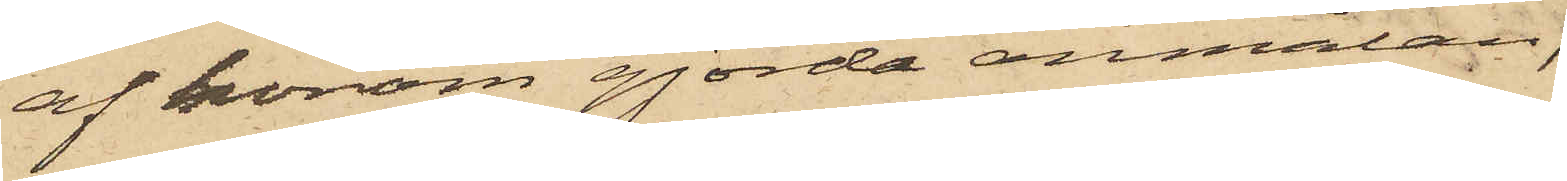af honom gjorda anmälan,
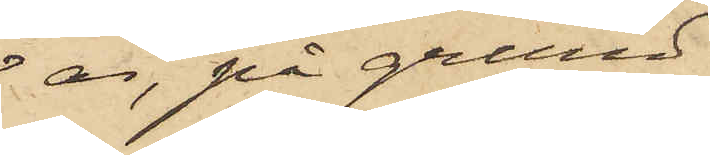är, på grund
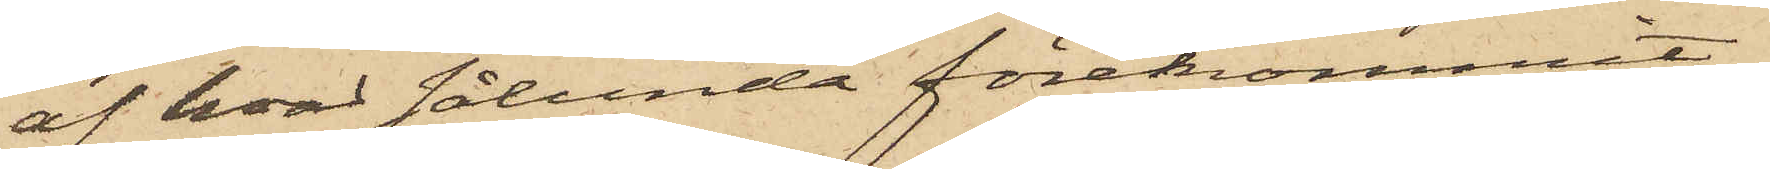af hvad sålunda förekommit,
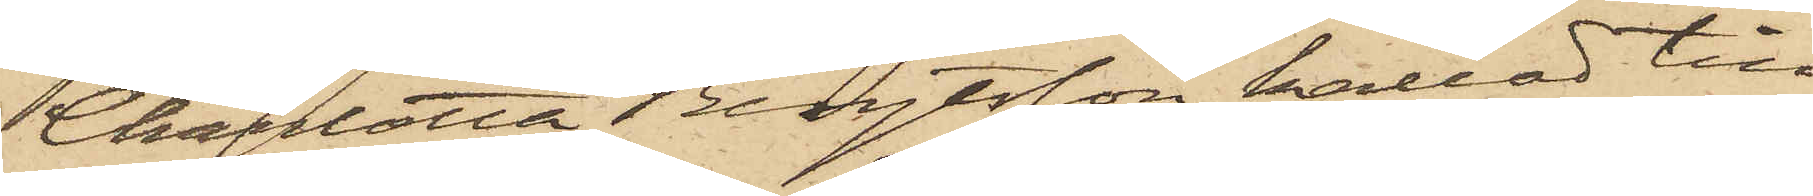Charlotta Bengtsson kallad till
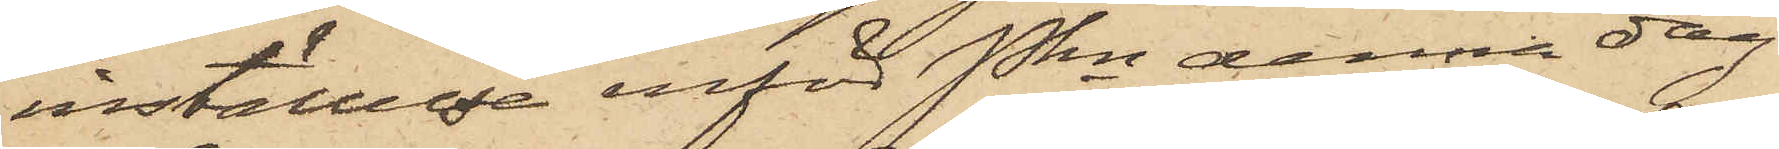inställelse inför Pkn denna dag.
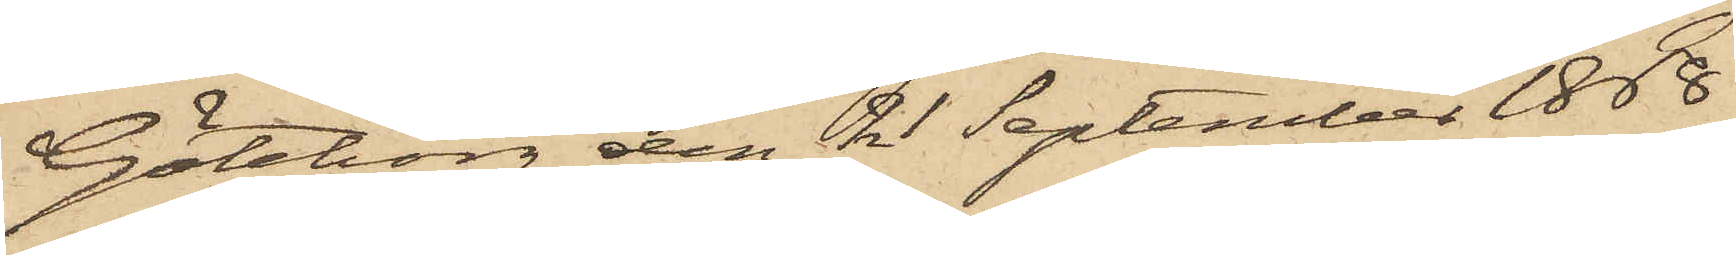Göteborg den 21 September 1868
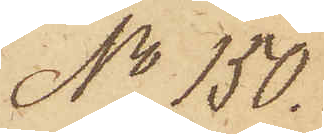No 150.
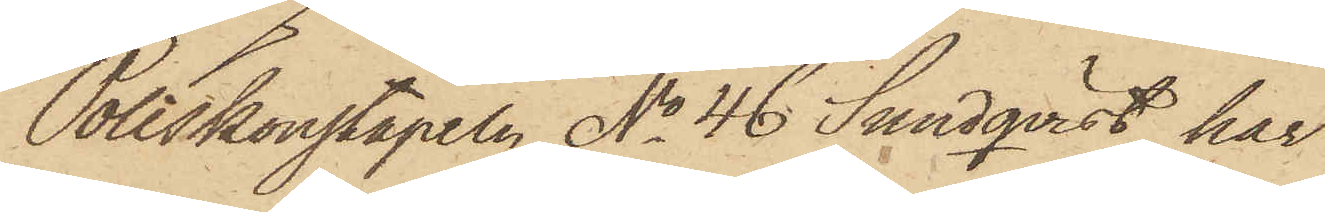Poliskonstapeln No 46 Sundqvist, har
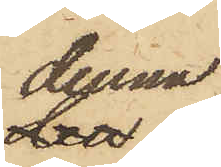denna
